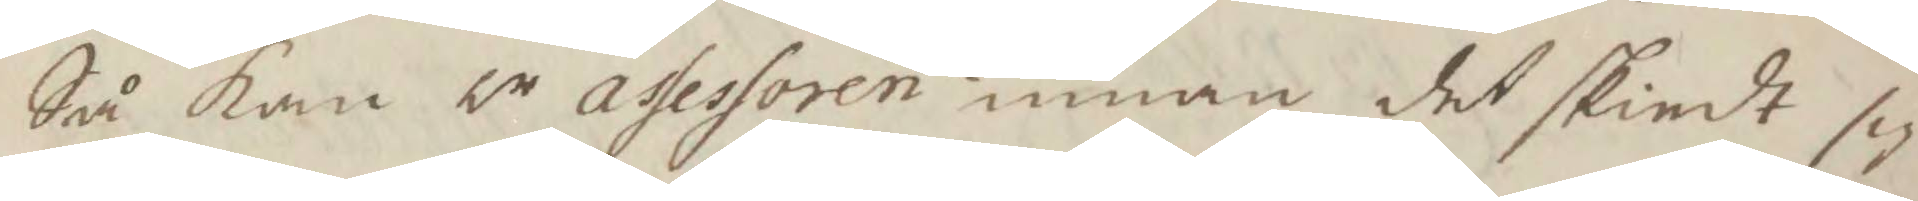Så kan hr assessoren innan det skiedt sig
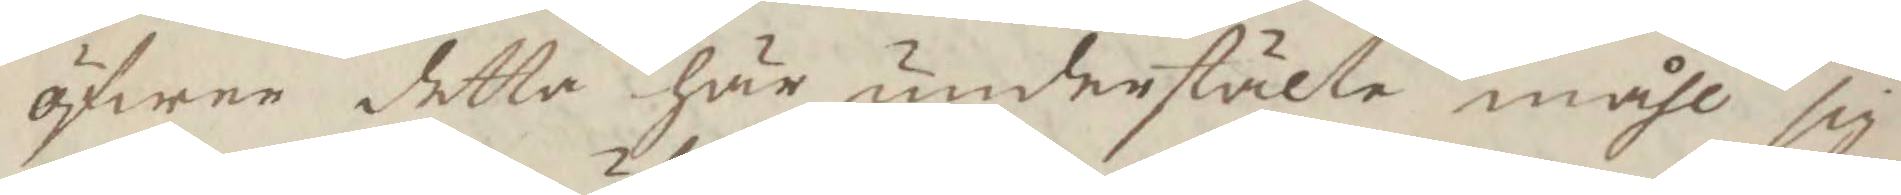öfwer detta här understälte måhl sig
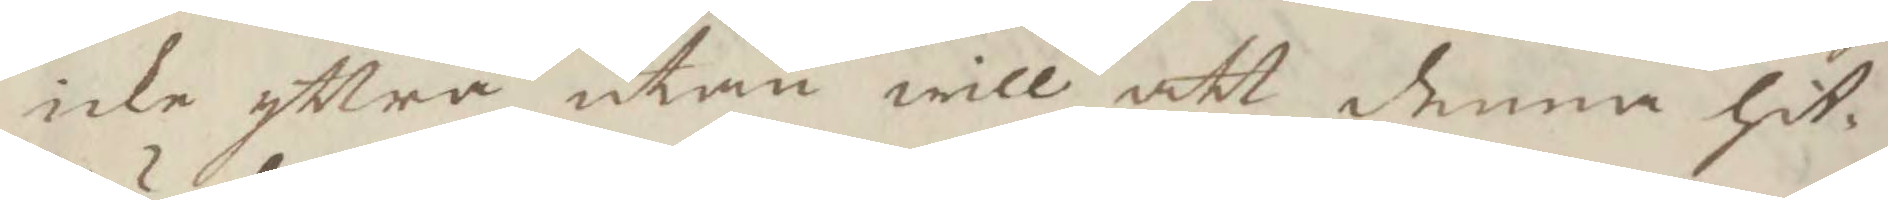icke yttra utan will att denna hit¬
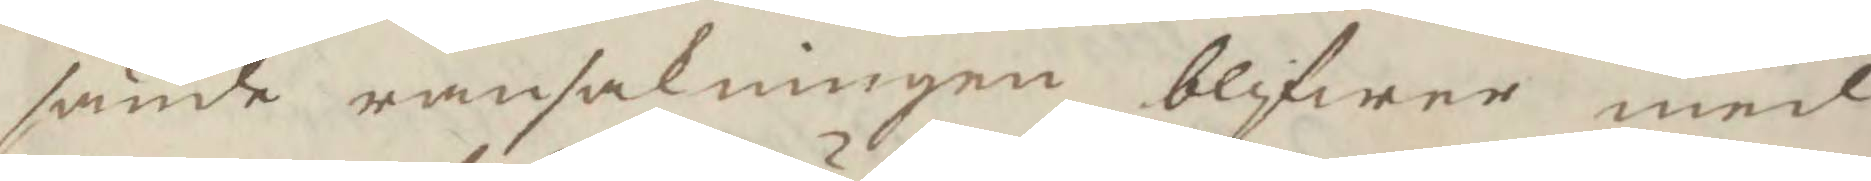sända ransakningen blifwer med
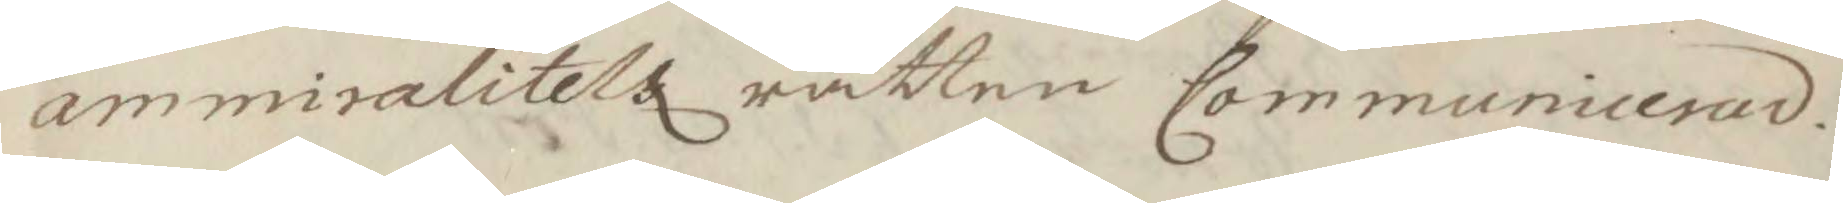ammiralitetz rätten Communicerad.
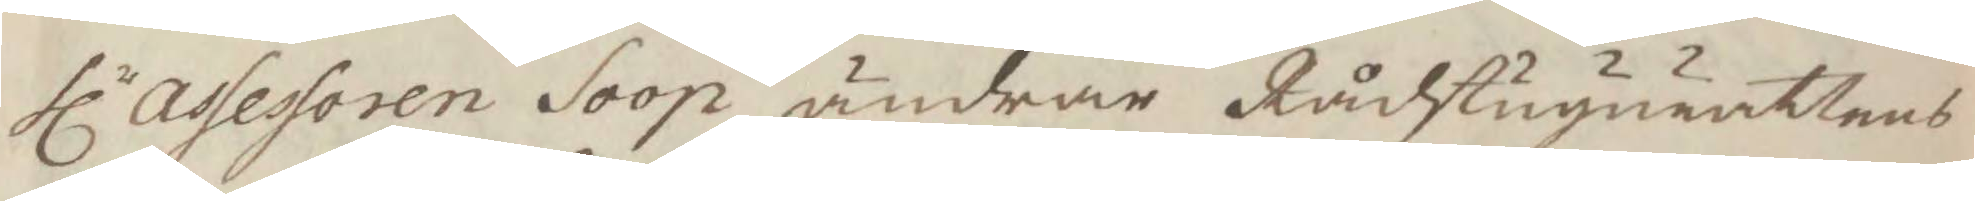hlr assessoren Soop ändrar Rådstugurättens
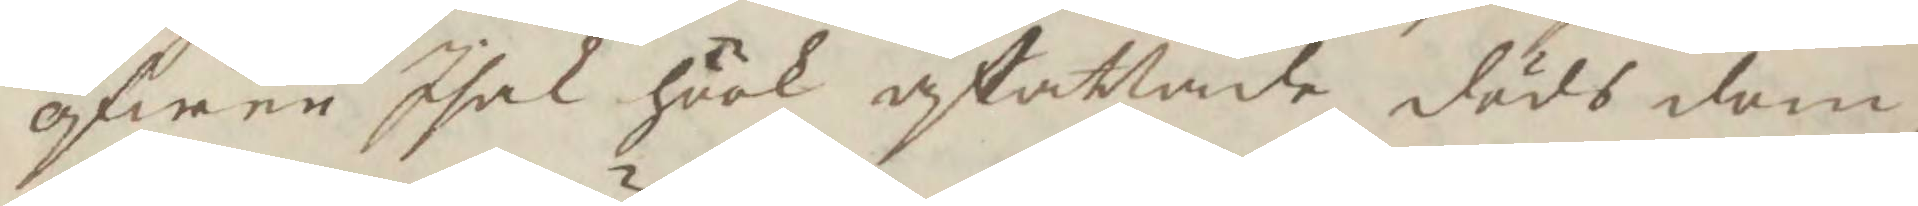öfwer Isak Höök afattade döds dom,
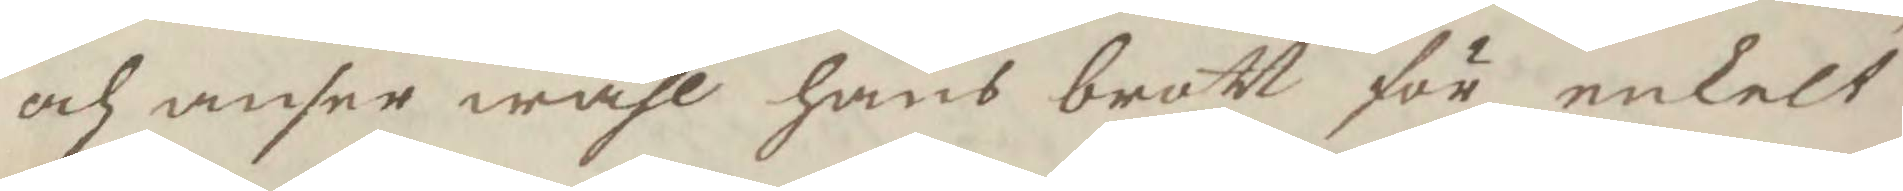och anser wähl hans brott för enkelt
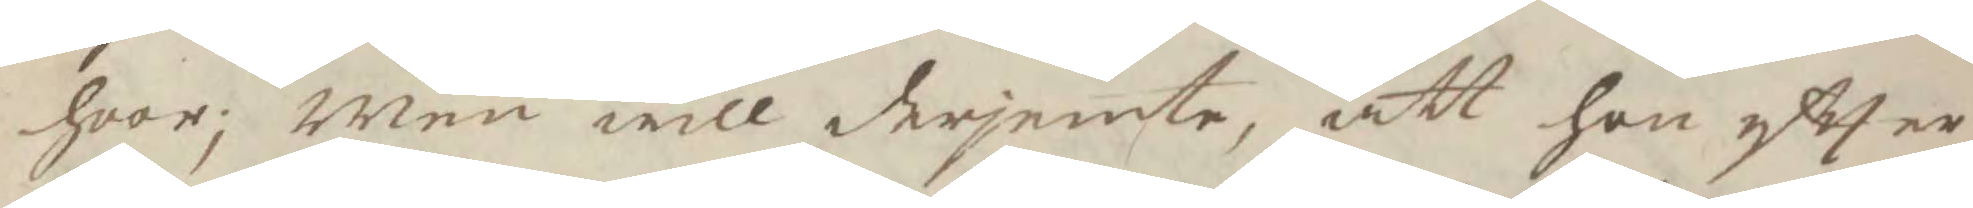hvar; Men will derjemte, att han eftter
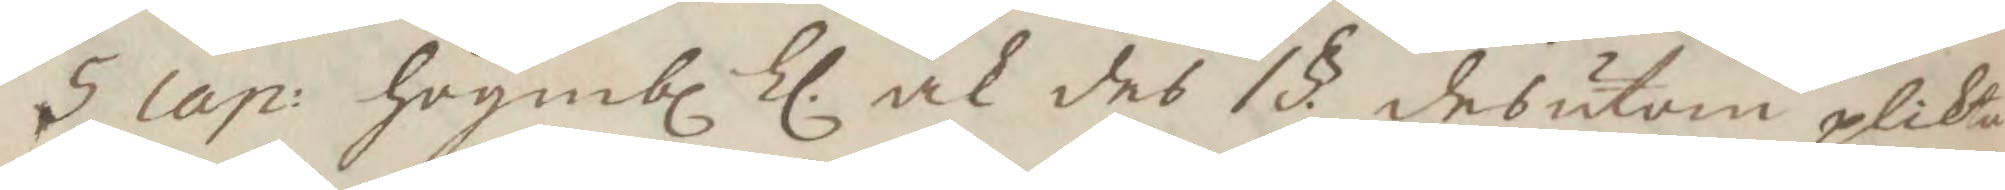5 cap: högmbl ll. ock des 1§ desutom plikta
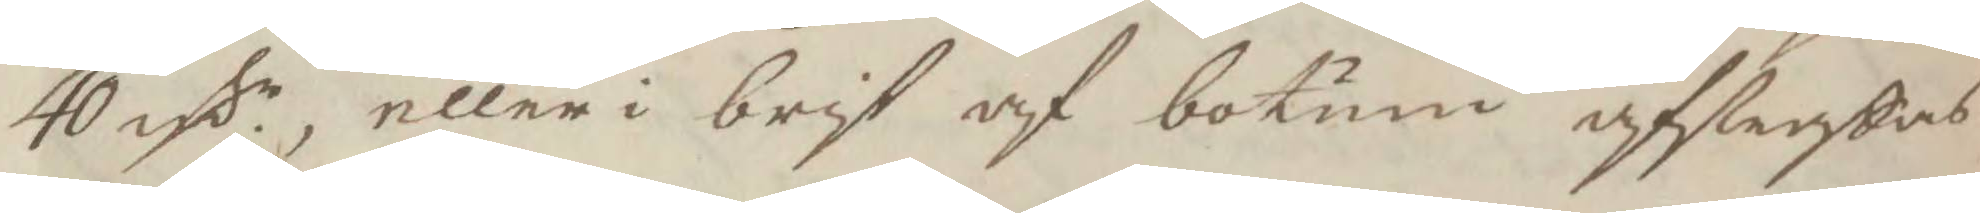40 rsr eller i brist af botum afstraffas
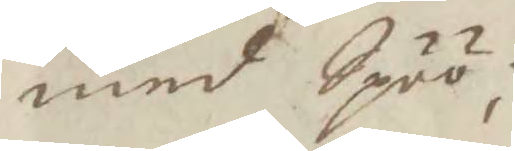med Spöö;
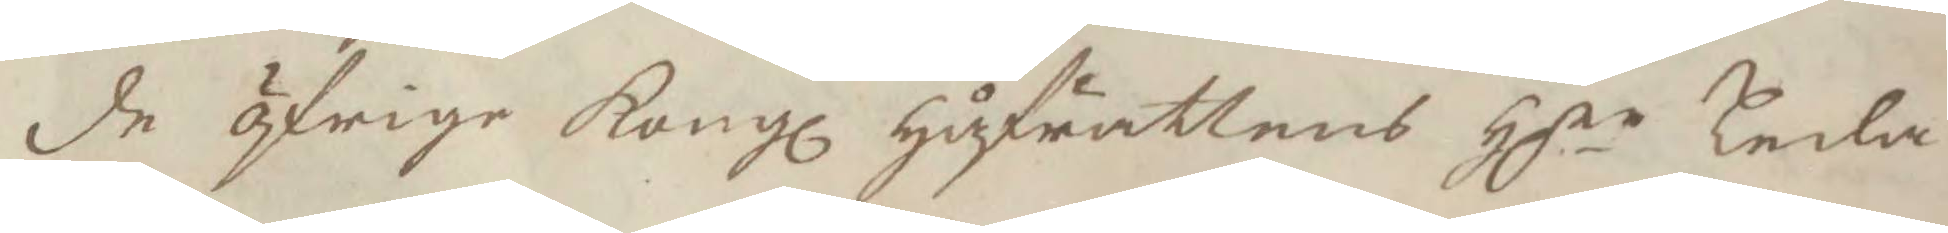de öfrige Kongl Håfrättens Hhrr Leda¬
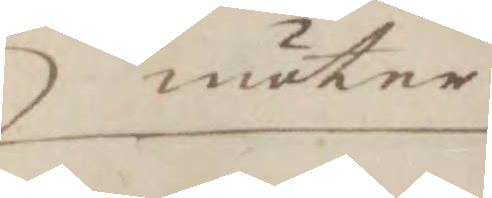möter
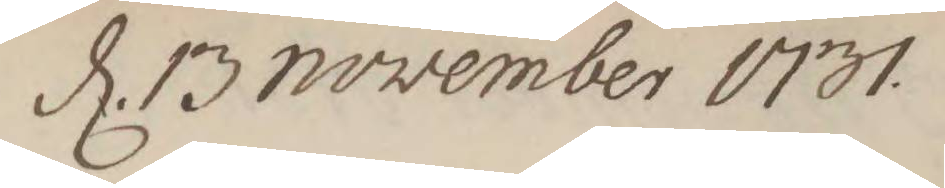d. 13 november 1731.
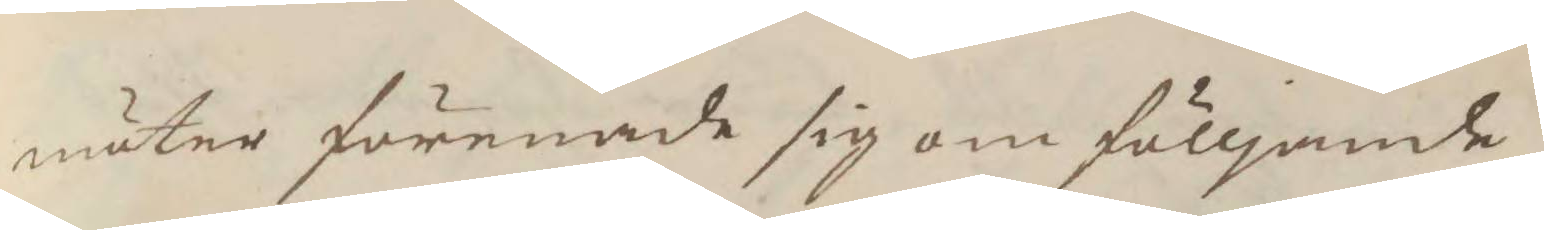möter förendade sig om fölljande
